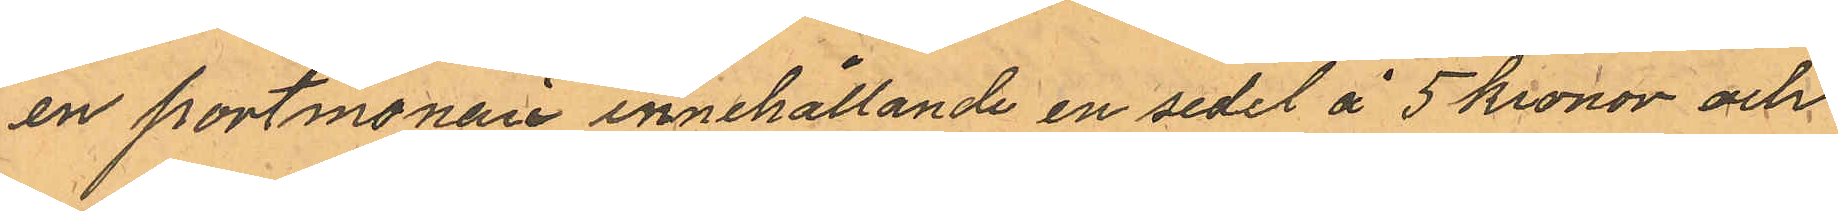en portmonaie innehållande en sedel å 5 kronor och
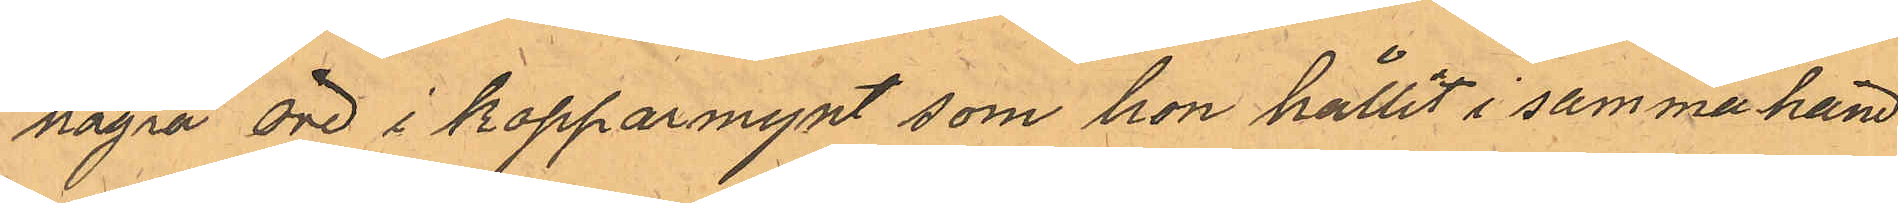några öre i kopparmynt som hon hållit i samma hand
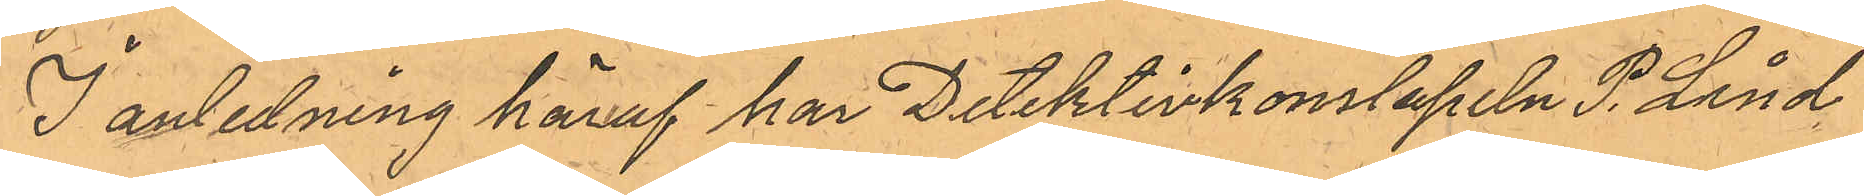I anledning häraf har Detektivkonstapeln P. Lind¬
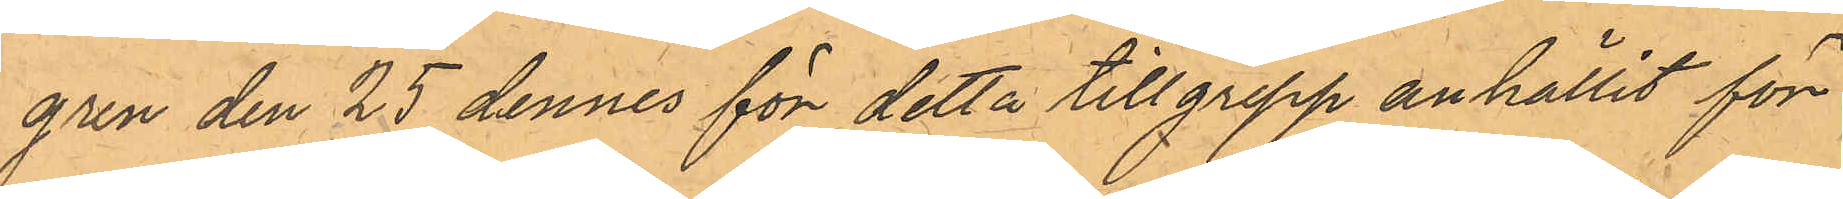gren den 25 för detta tillgrepp anhållit för
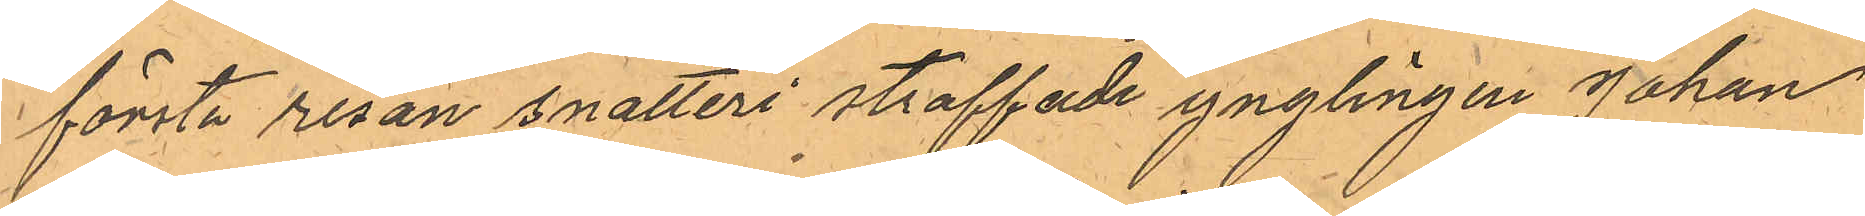första resan snatteri straffade ynglingen Johan
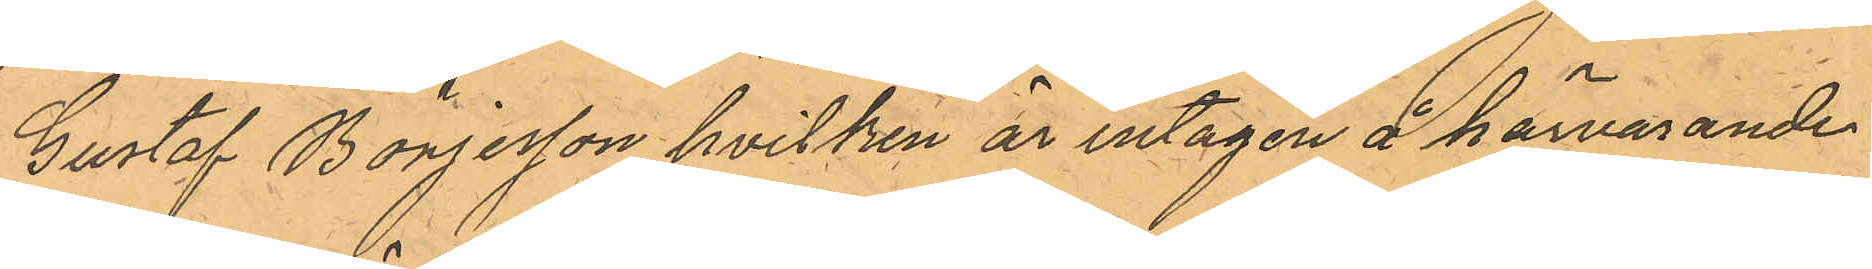Gustaf Börjesson hvilken är intagen å härvarande
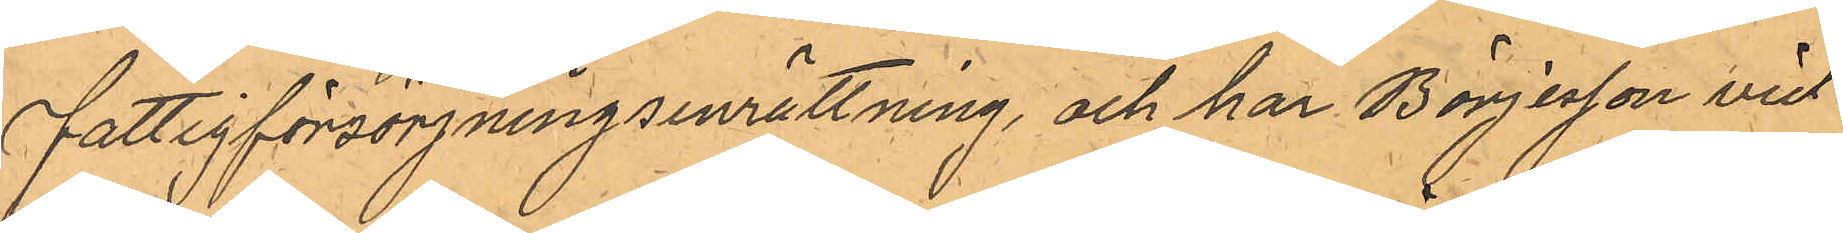Fattigförsörjningsinrättning, och har Börjesson vid
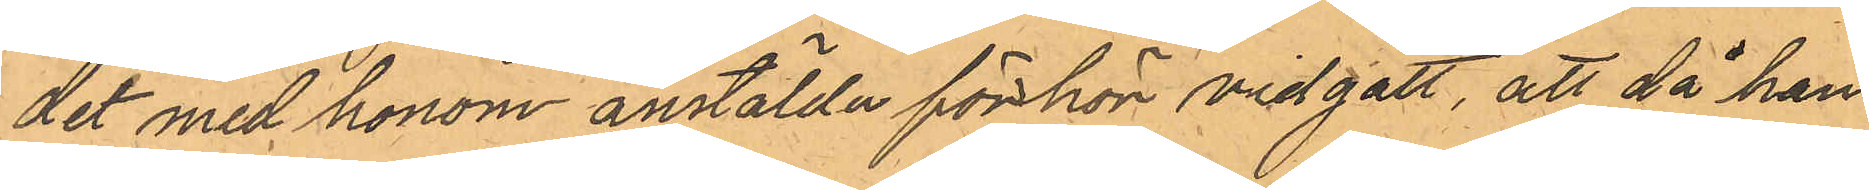det med honom anstälda förhör vidgått, att då han
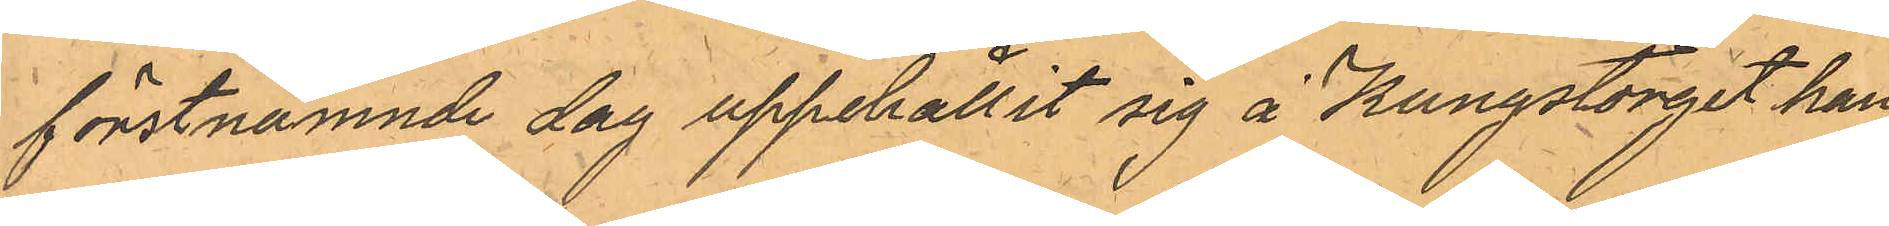förstnämnde dag uppehållit sig å Kungstorget han
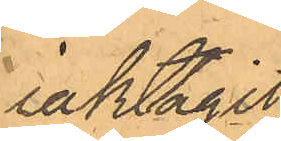iakttagit
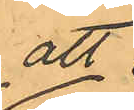att
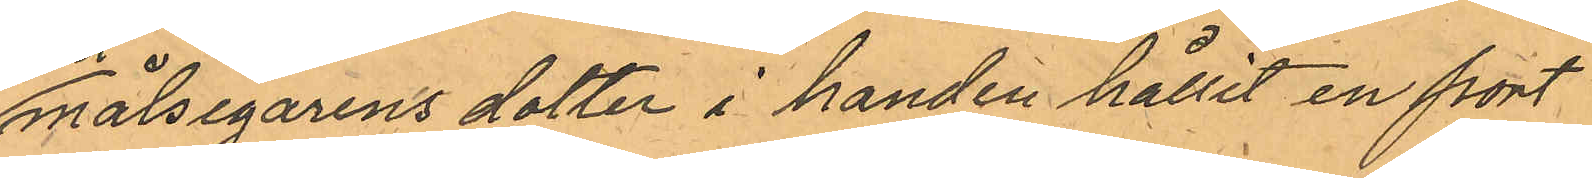målsegarens dotter i handen hållit en port¬
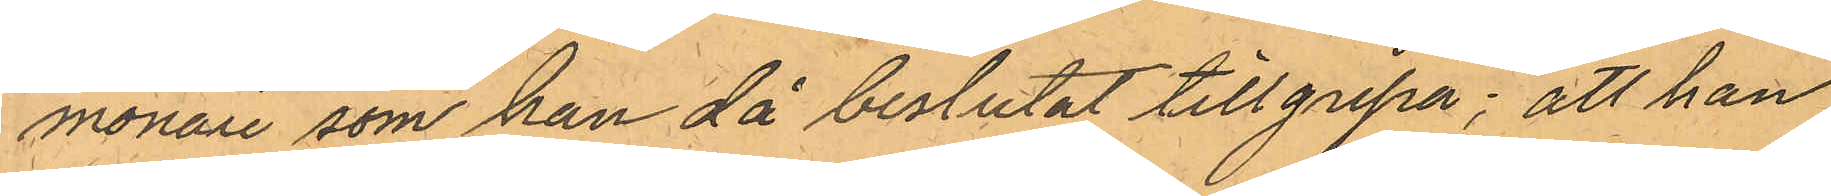monaie som han då beslutat tillgripa; att han
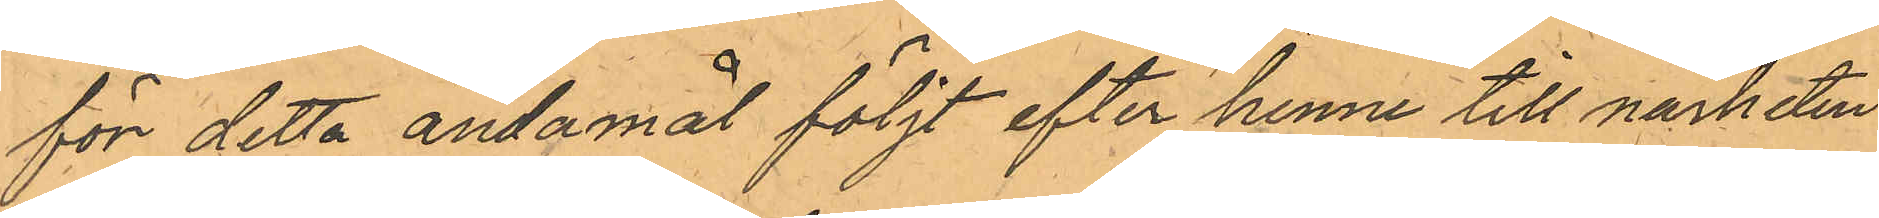för detta ändamål följt efter henne till närheten
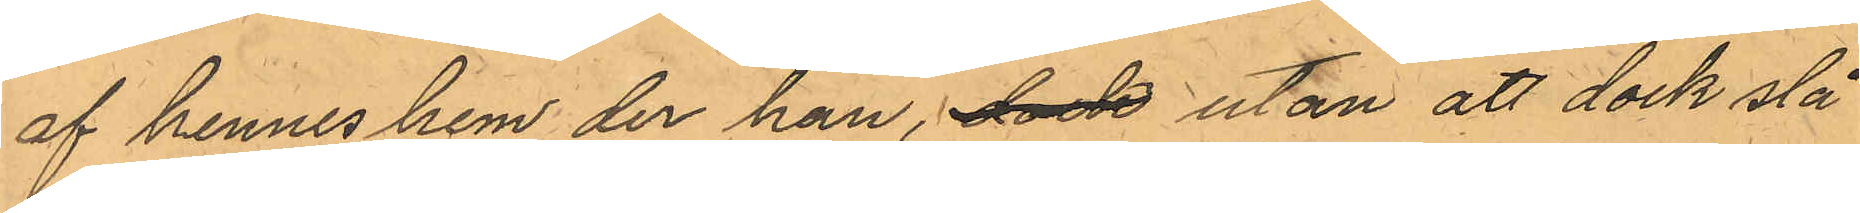af hennes hem der han, dock utan att dock slå
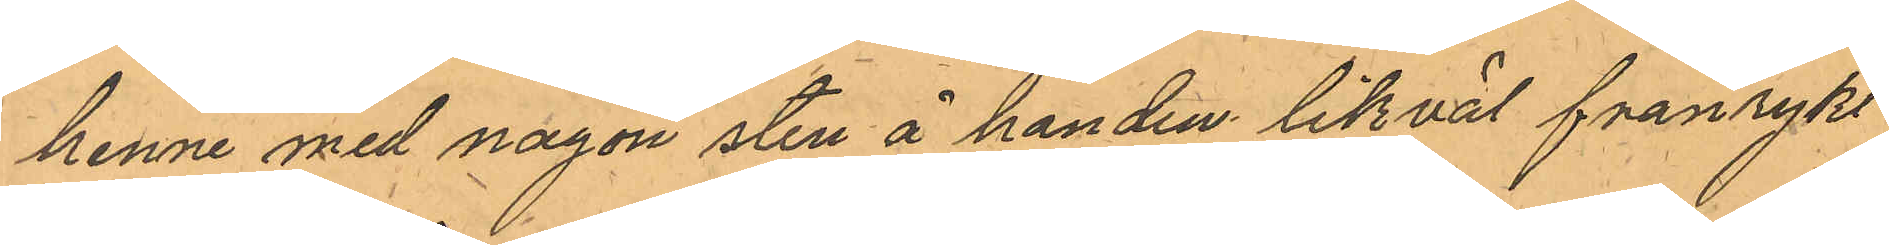henne med någon sten å handen likväl frånrykt
